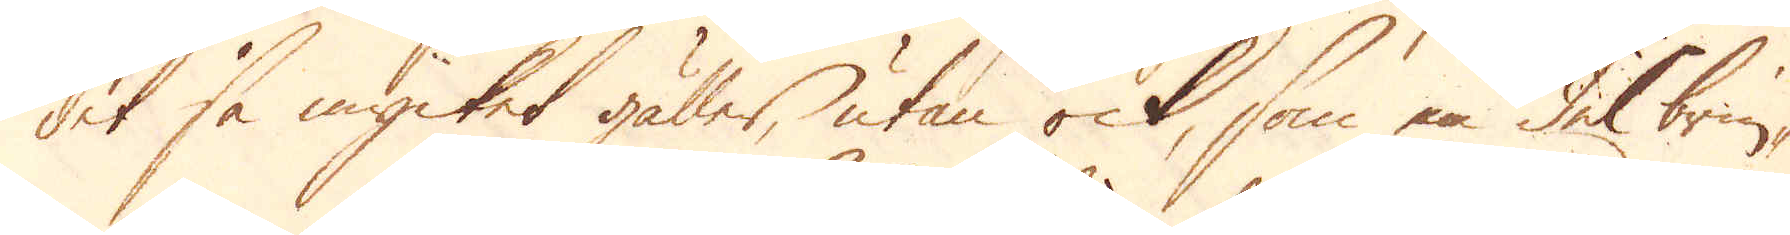det så mycket gäller, utan ock, som en del brin-
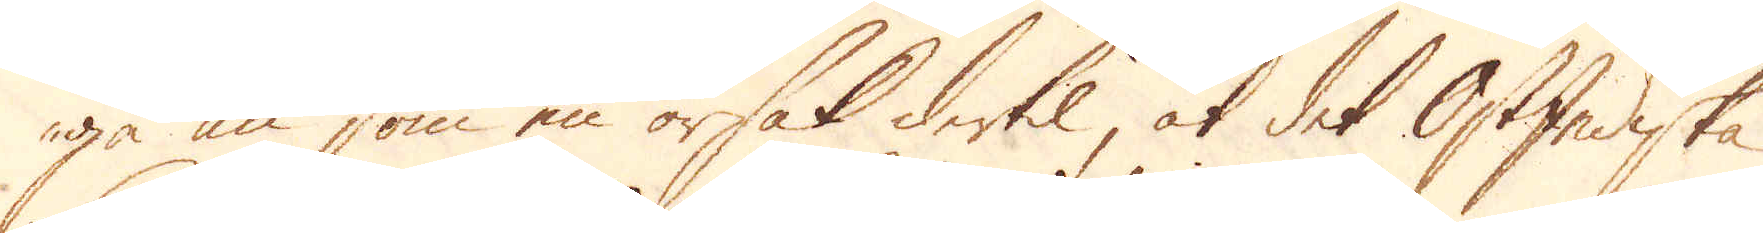ga än som en orsak dertil, at det OstIndiska
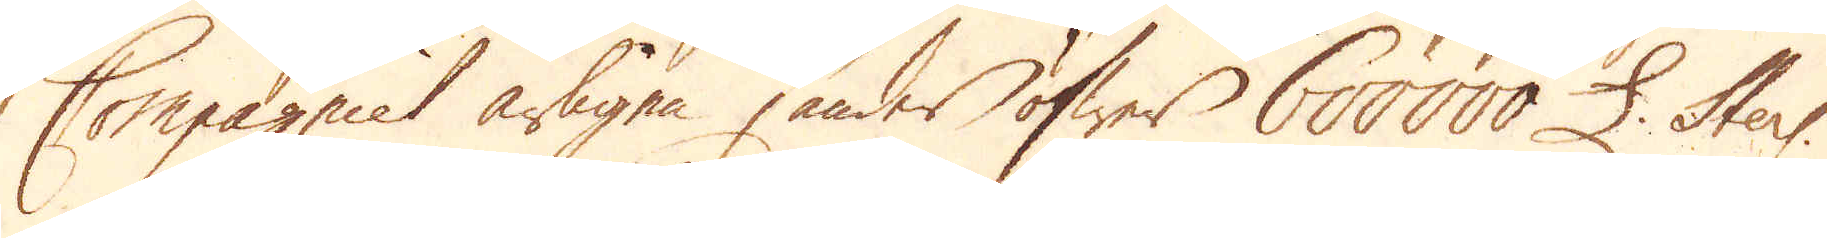Compagniet årligen sänder öfwer 600000 £. Sterl.
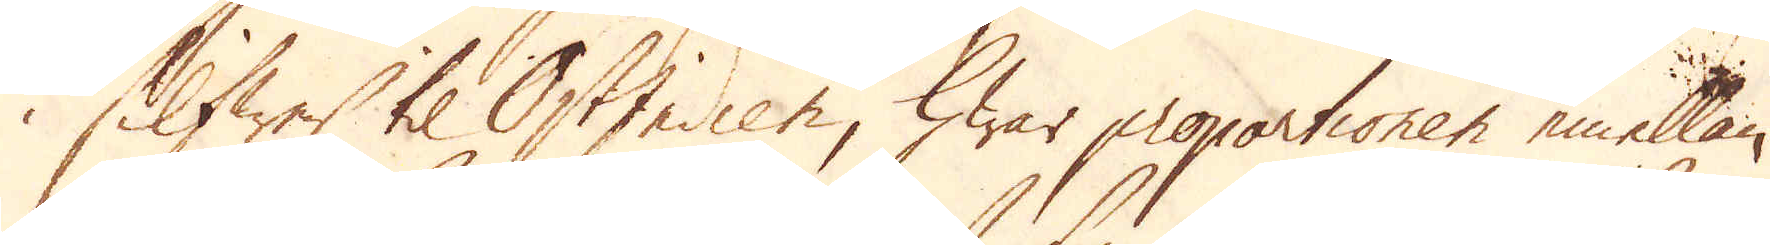i Silfwer til OstIndien, hwar proportionen emellan
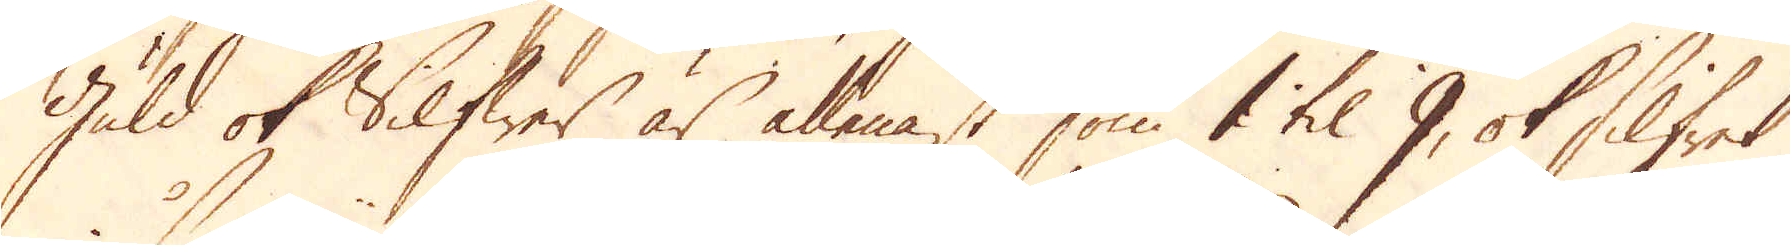guld ok Silfwer är allenast som 1 til 9, ok Silfret
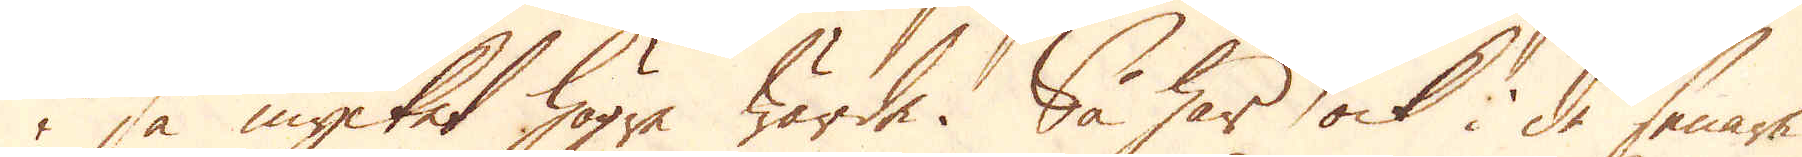i så mycket högre wärde. Så har ock i de senare
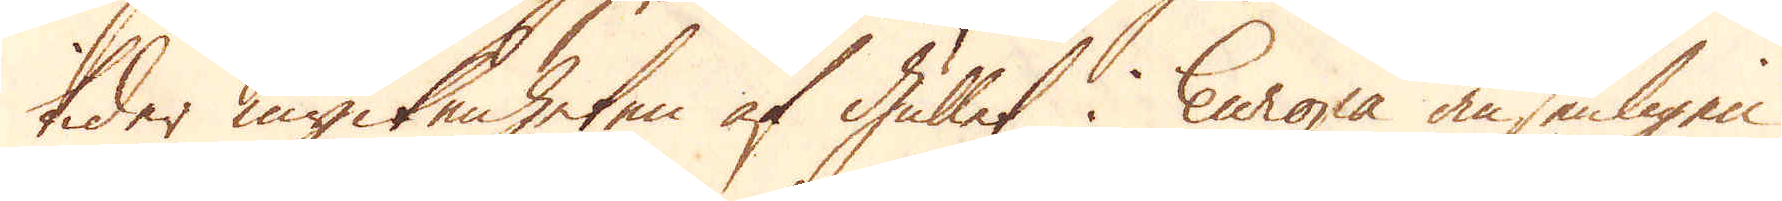tider myckenheten af Gullet i Europa ansenligen
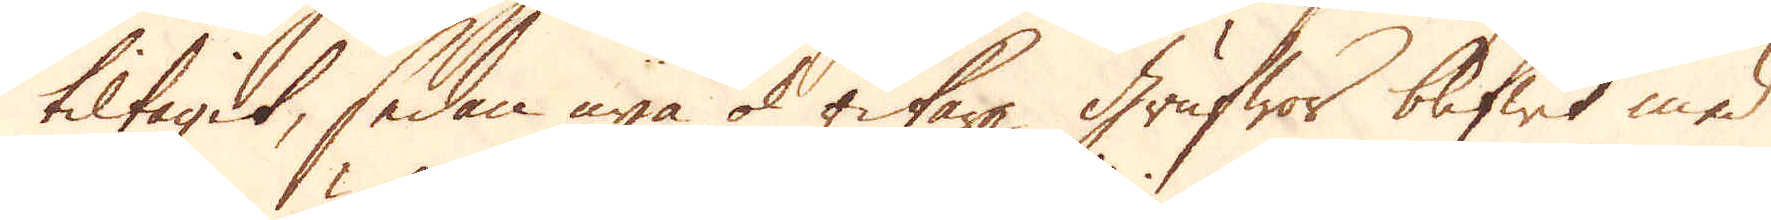tiltagit, sedan nya ok rikare grufwor blifwit med
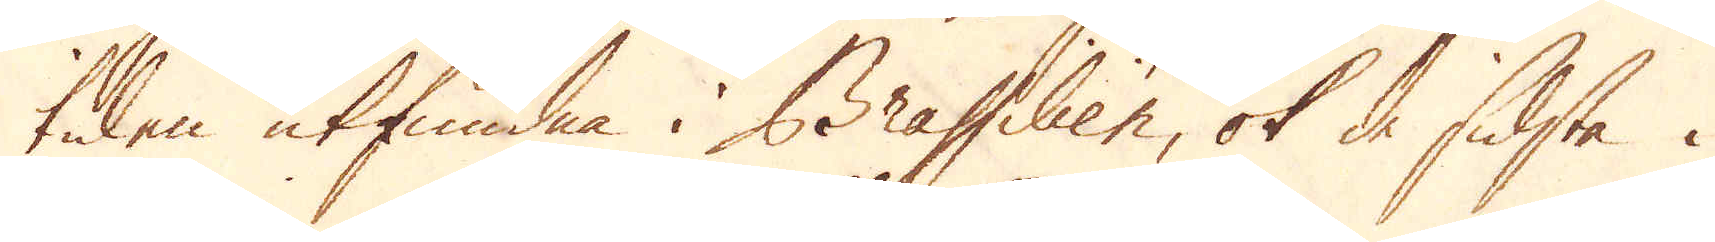tiden utfundna i Brassilien, ok de sidsta i
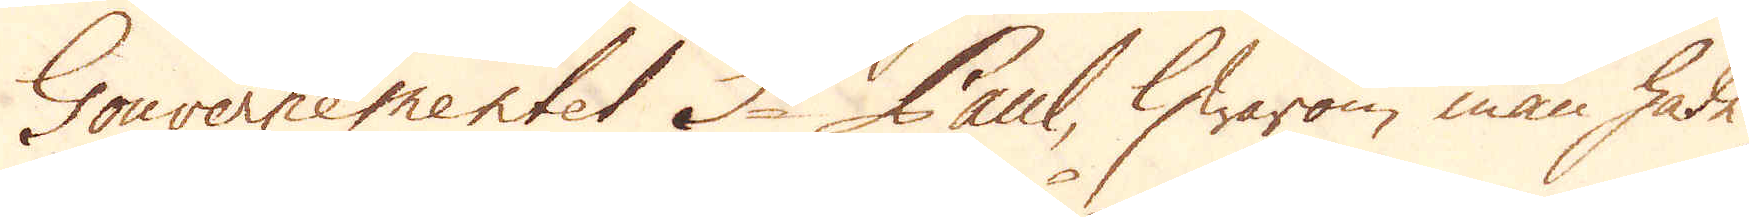Gouvernementet St Paul, hwarom man hade
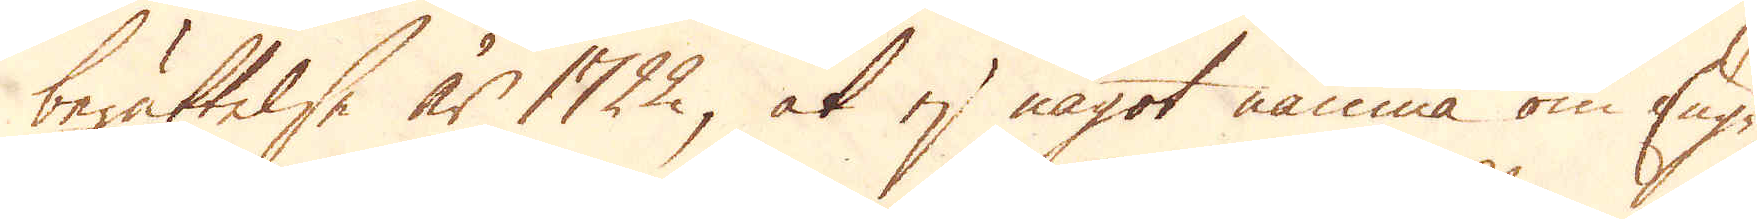berättelse år 1722, at ej något nämna om Eng-
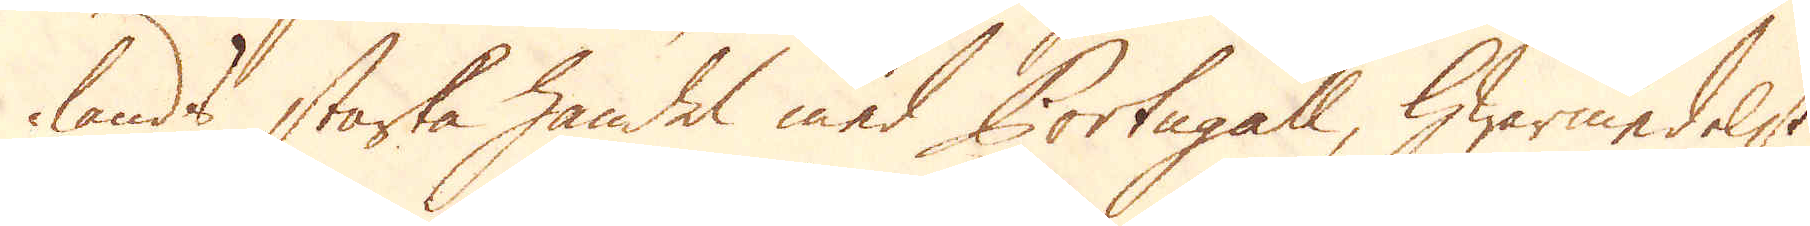lands starka handel med Portugall, hwarmedelst
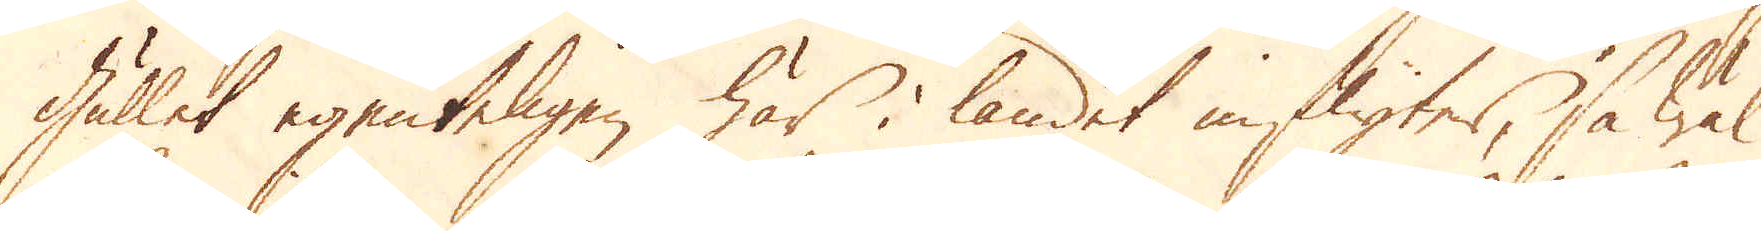Gullet egenteligen här i landet inflyter, så wäl
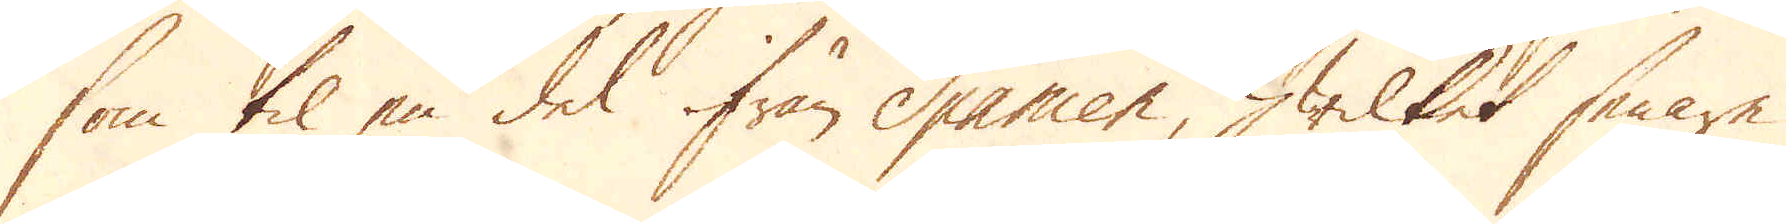som til en del ifrån Spanien, hwilket senare
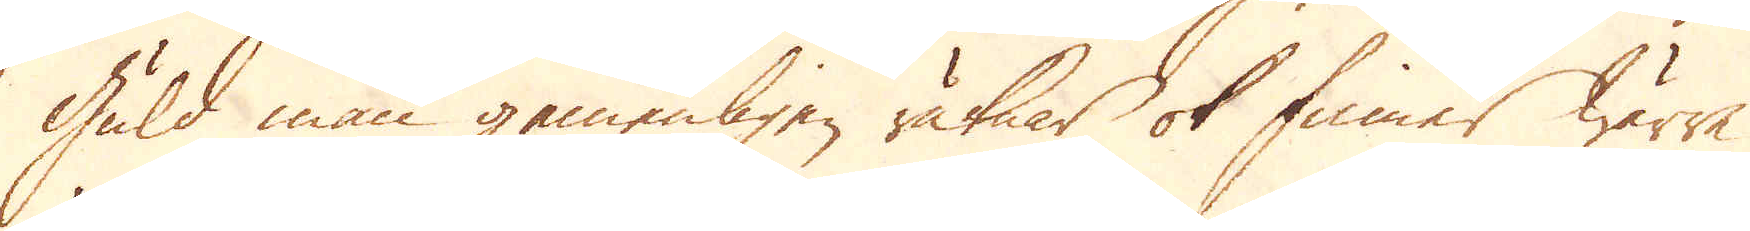Guld man gemenligen räknar ok finner wärre
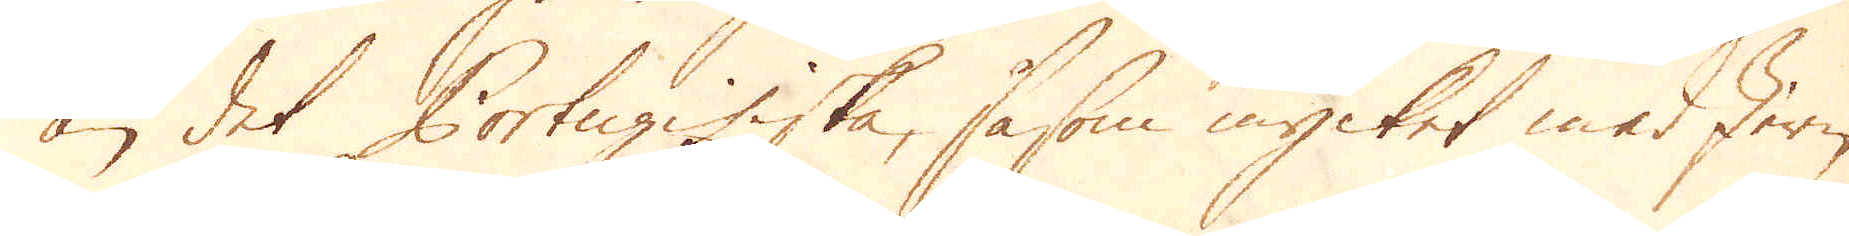än det Portugisiska, såsom mycket med Jern
